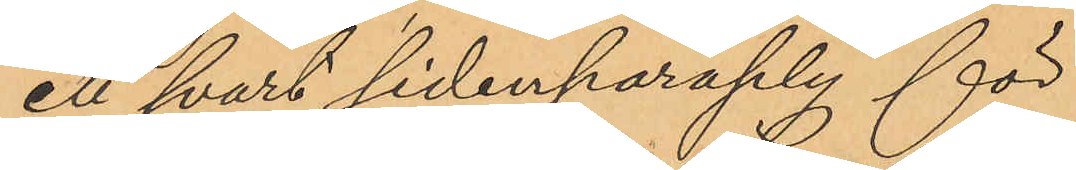ett svart sidenparaply för
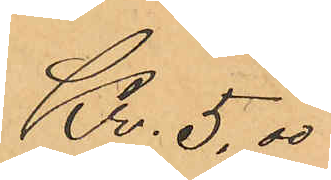Kr. 5,00
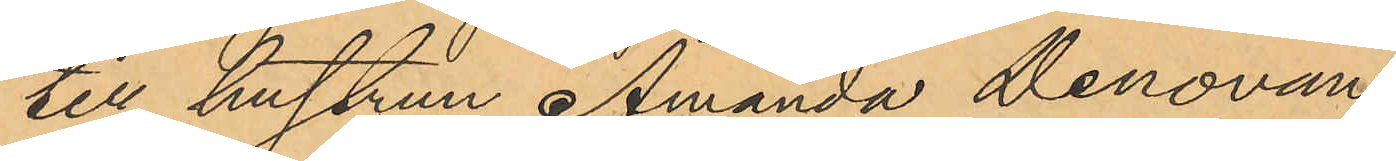till hustrun Amanda Denovan,
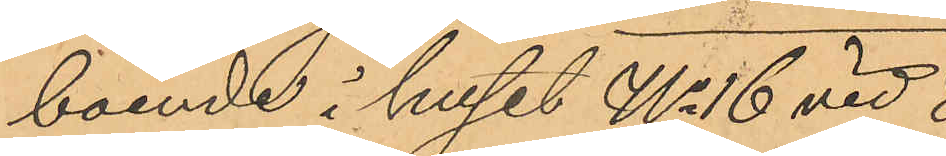boende i huset No 16 vid 
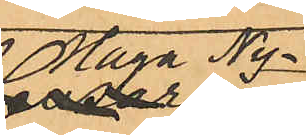Haga Ny¬
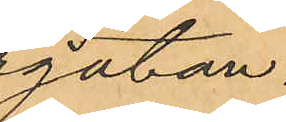gatan:
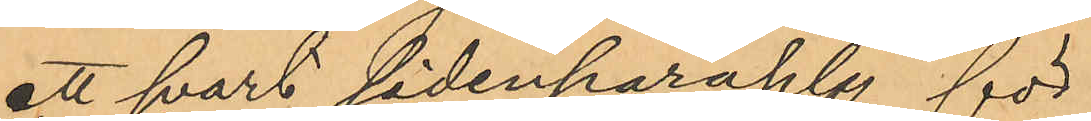ett svart sidenparaply för
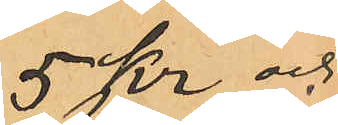5 Kr och
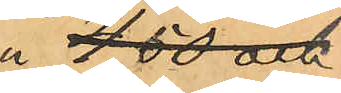" 4,50 och
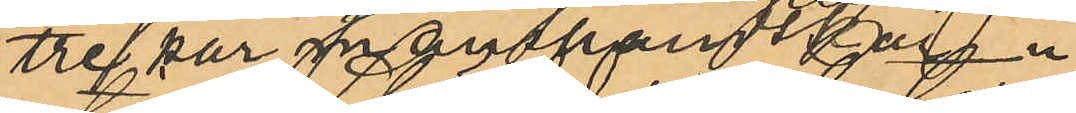tre par manshandtskar "
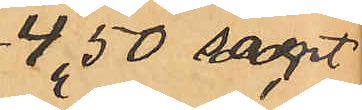4,50 samt
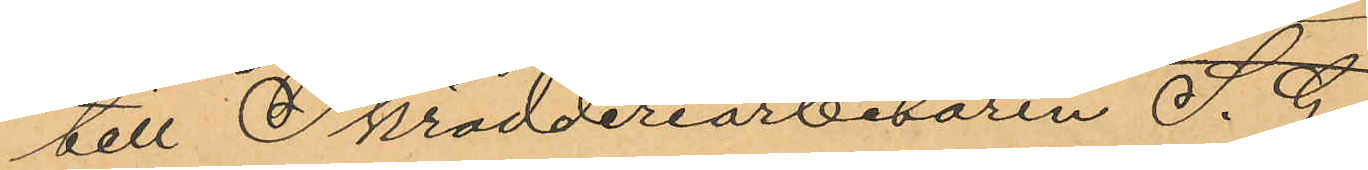till Skrädderiarbetaren S. G.
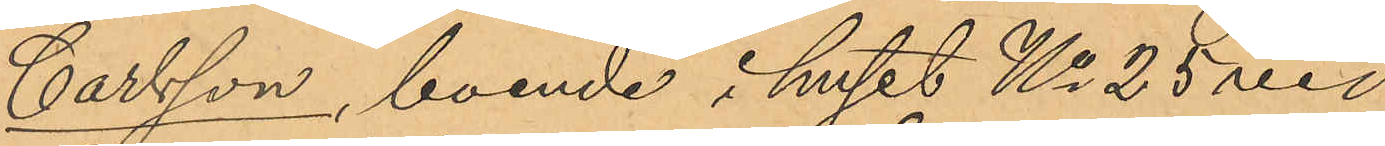Carlsson, boende i huset No 25 vid
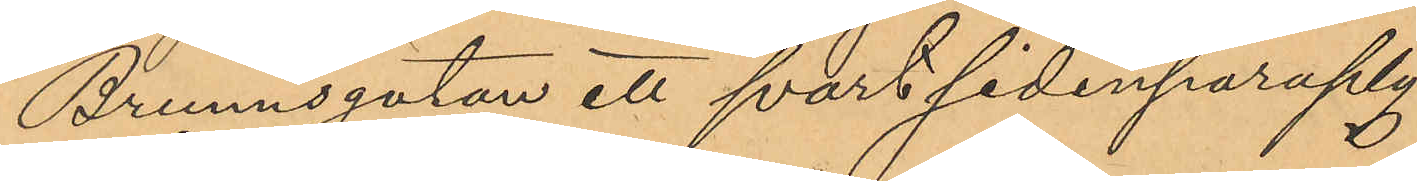Brunnsgatan ett svart sidenparaply
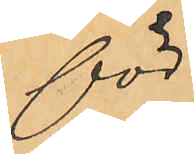för
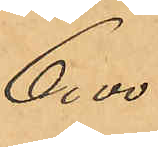6,00
